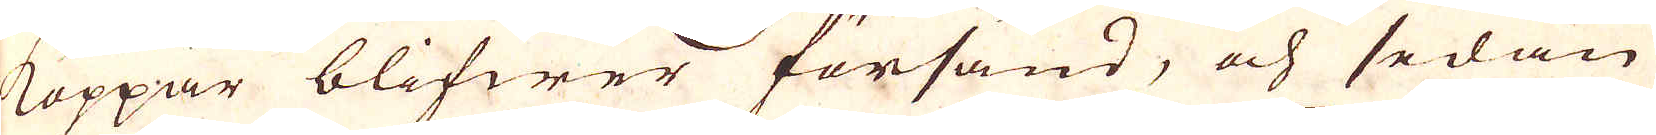Koppar blifwer försänd, och sedan
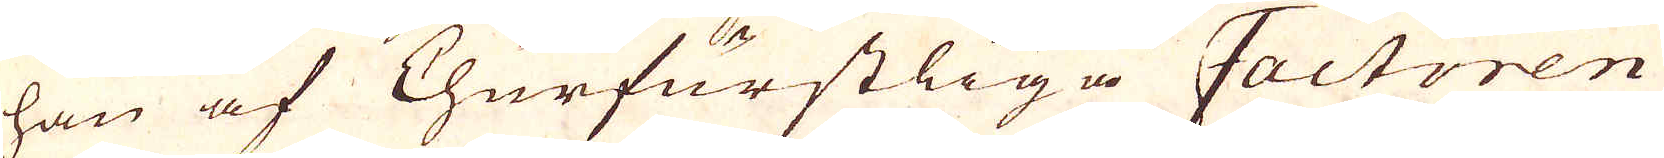han af Churfurstliga Factoren
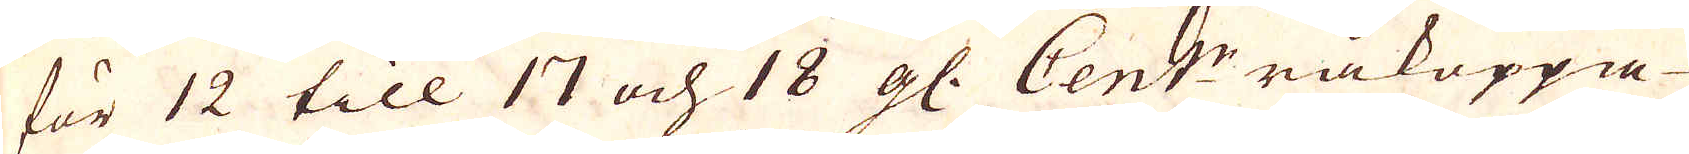för 12 till 17 och 18 gl. Cent:r råkoppa-
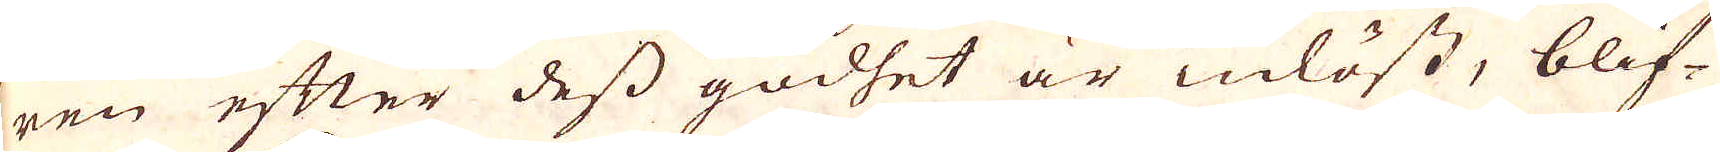ren efter dess godhet är inlöst, blif-
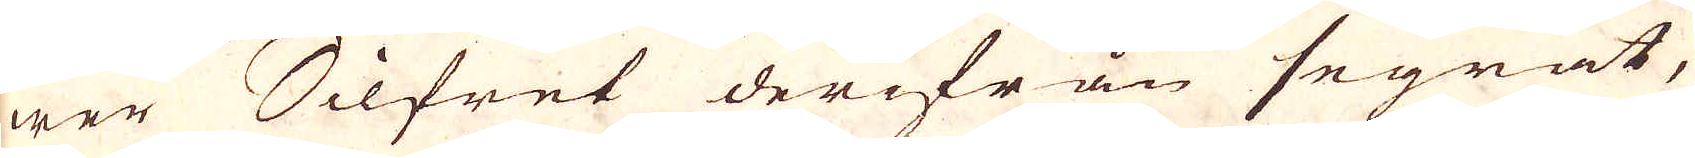wer Silfret derifrån segrat,
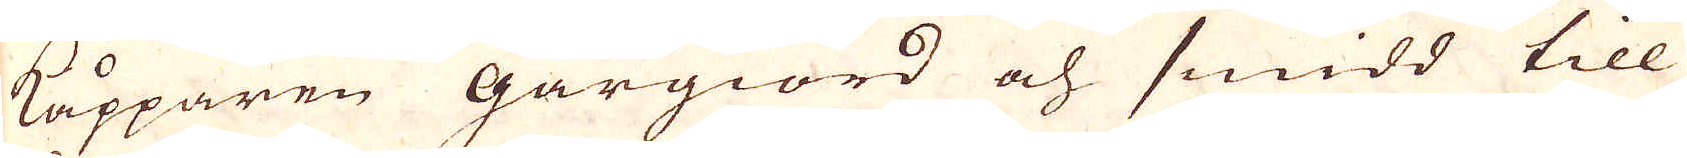Kåpparen gårgiord och smidd till
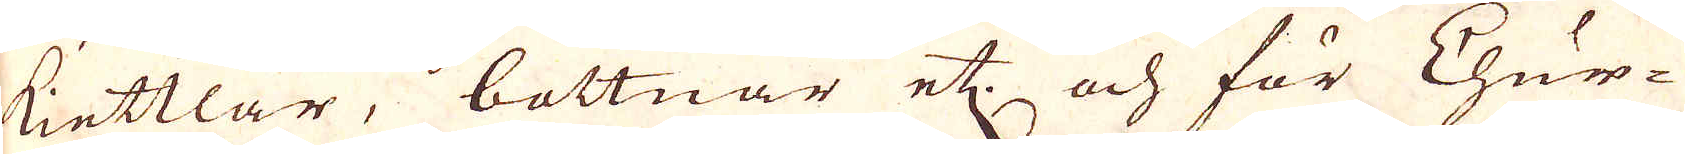kiettlar, bottnar etc. och för Chur-
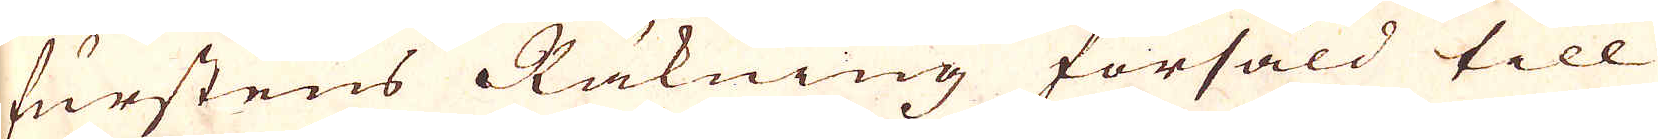furstens Räkning försåld till
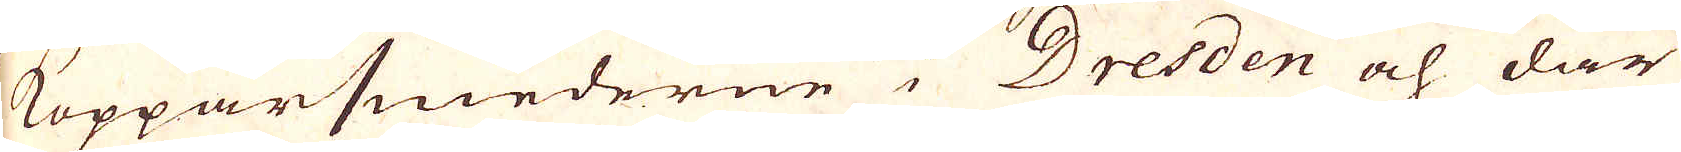Kopparsmederne i Dresden och där
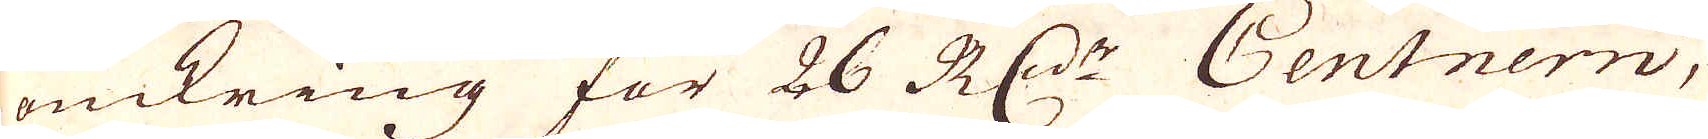omkring för 26 R:dr Centnern,
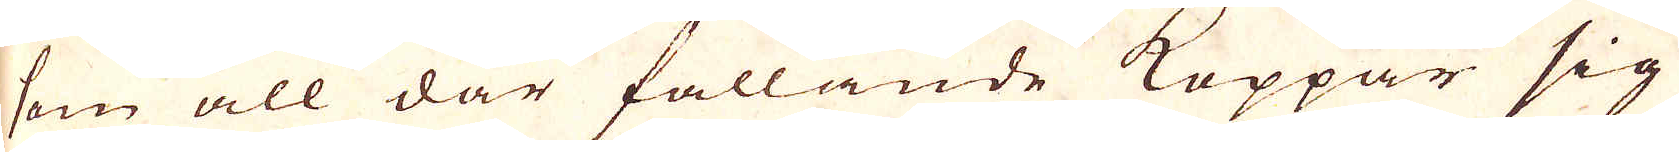som all där fallande Koppar sig
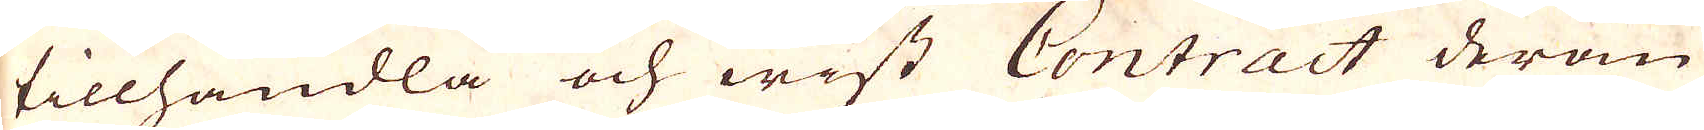tillhandla och wist Contract derom
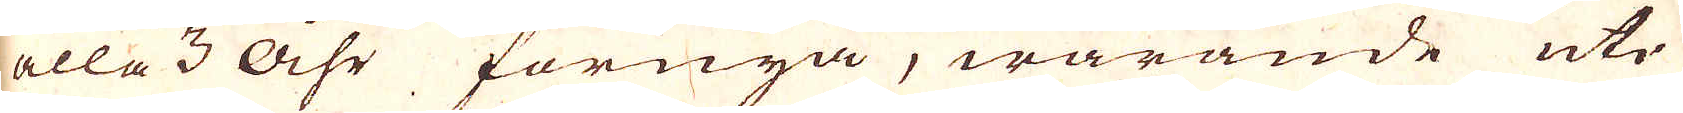alla 3 åhr förnya, warande uti
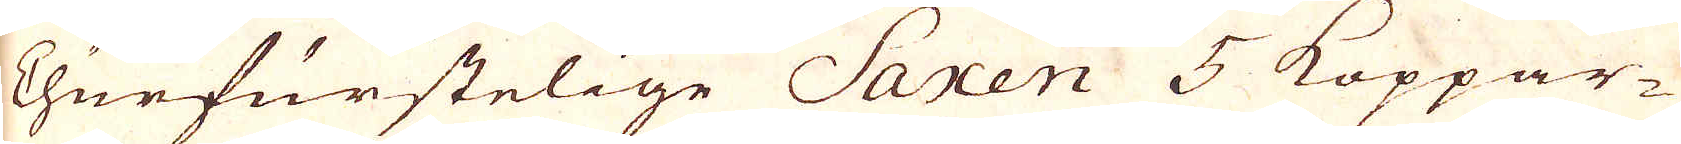Churfurstelige Saxen 5 Koppar-
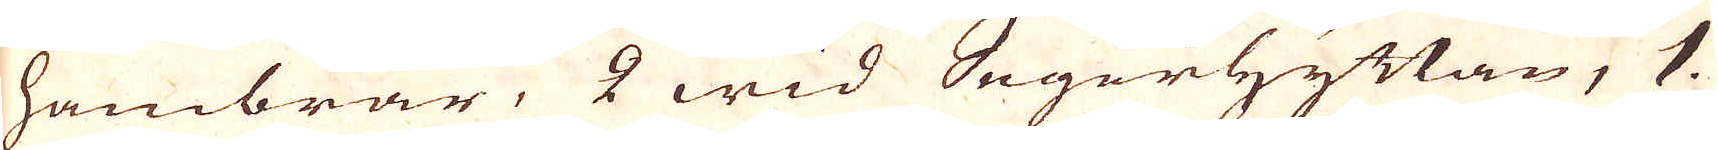hambrar, 2 wid Segerhyttan, 1.
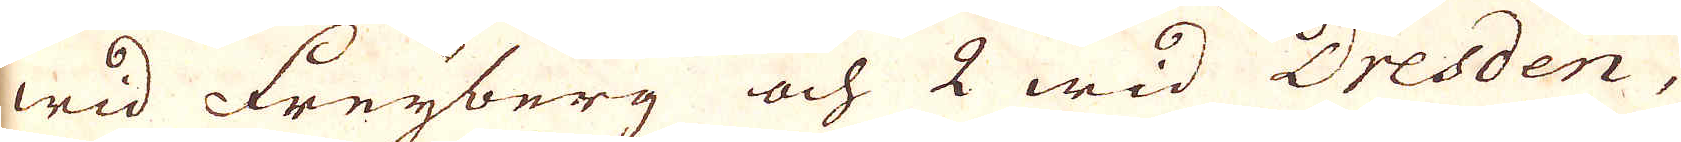wid Freyberg och 2 wid Dresden,
